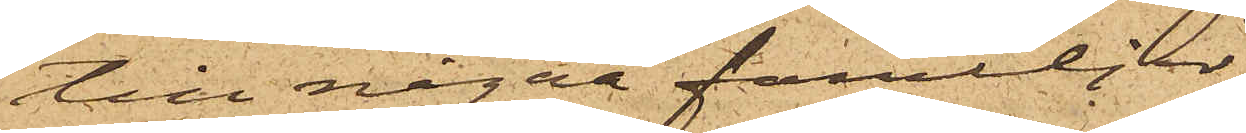till några familjer,
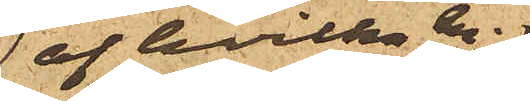 af hvilka en
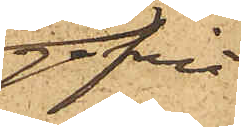gifvit
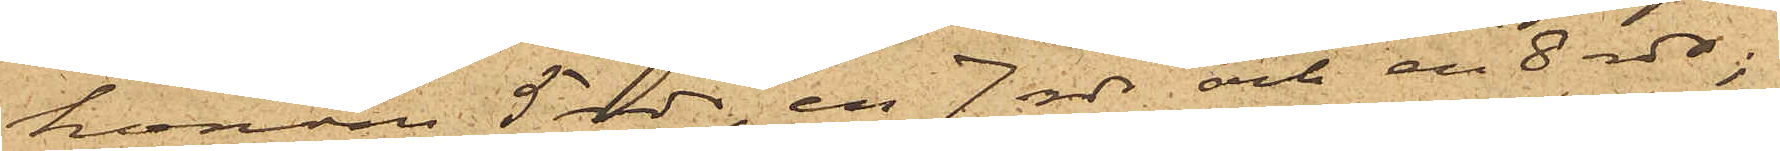honom 5 rdr, en 7 rdr och en 8 rdr;
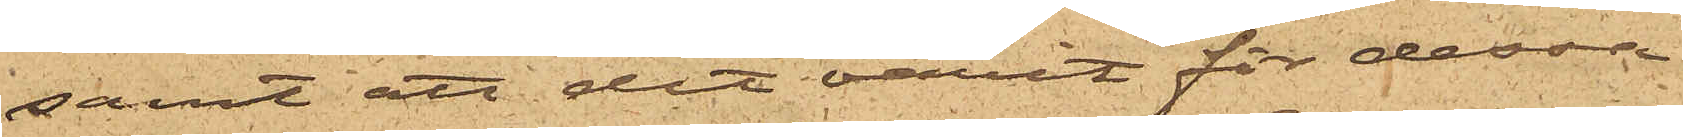samt att det varit för dessa
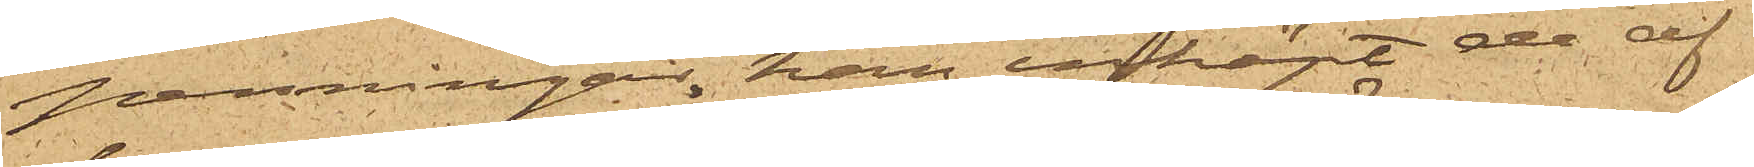penningar, han inköpt de af
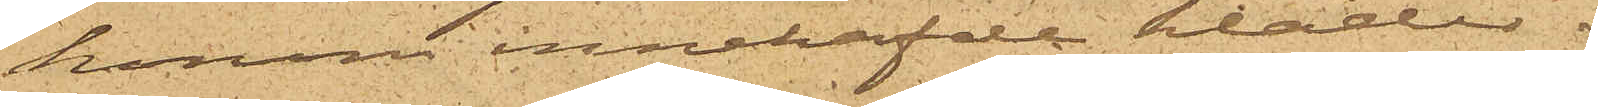honom innehafde kläder.
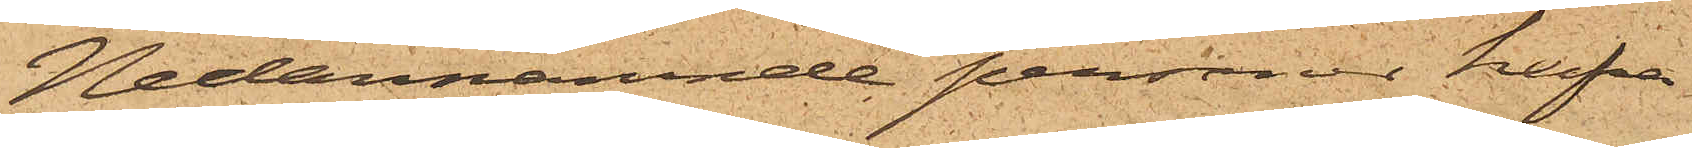Nedannämnde personer hafva
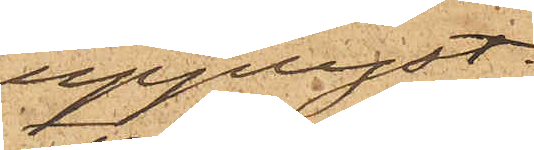upplyst.
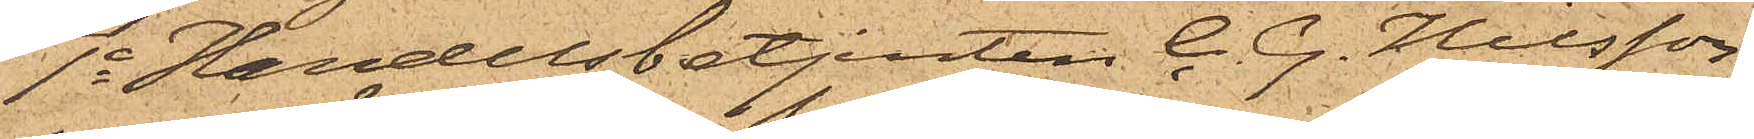1o Handelsbetjenten C. G. Nilsson
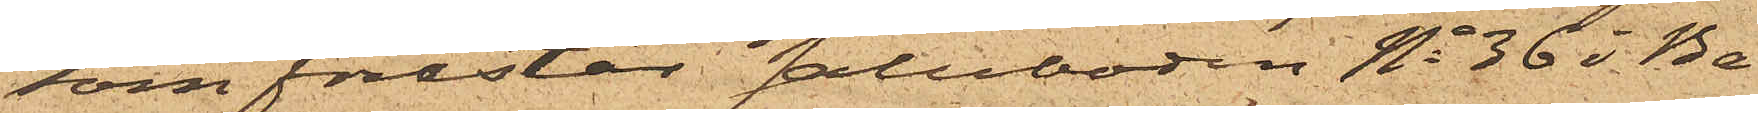som förestår saluboden No 36 i Ba¬
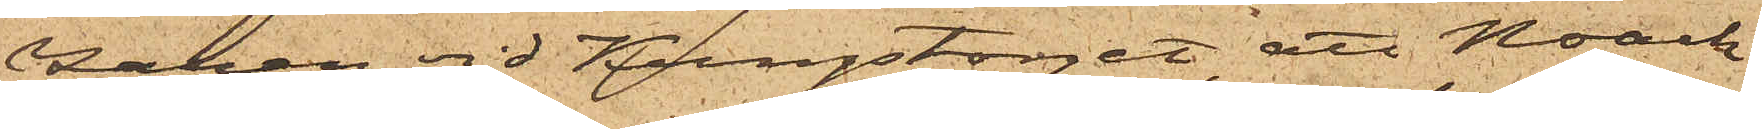zaren vid Kungstorget, att Noach
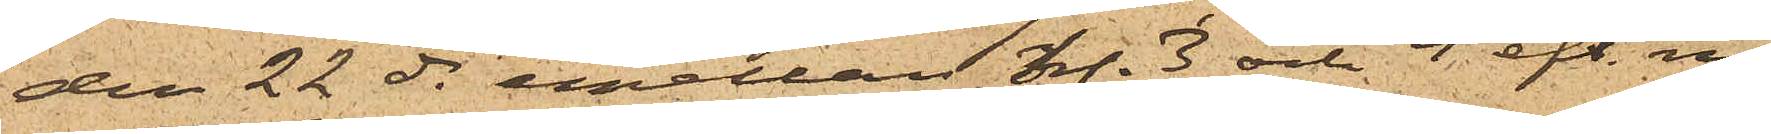den 22 ds emellan kl. 3 och 4 eft. m.
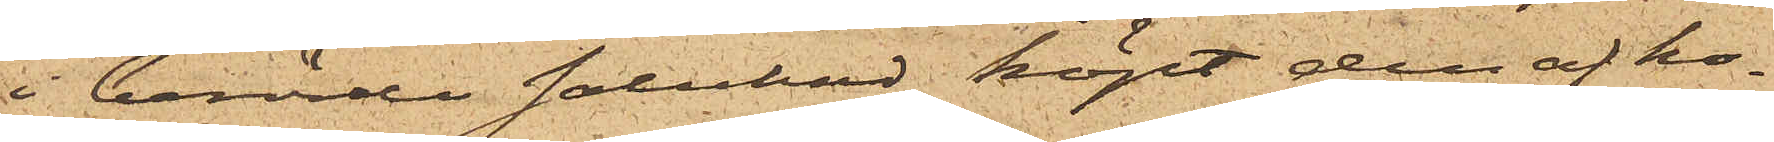i berörde salubod köpt den af ho¬
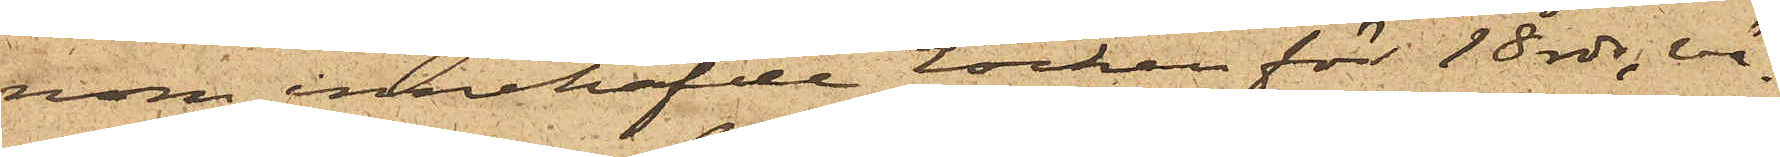nom innehafde rocken för 18 rdr, vä¬
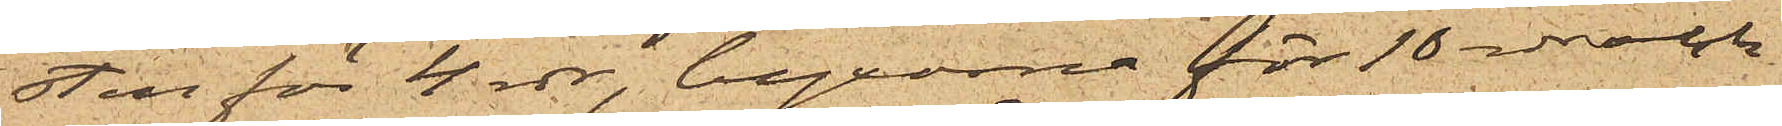sten för 4 rdr, byxorna för 10 rdr och
